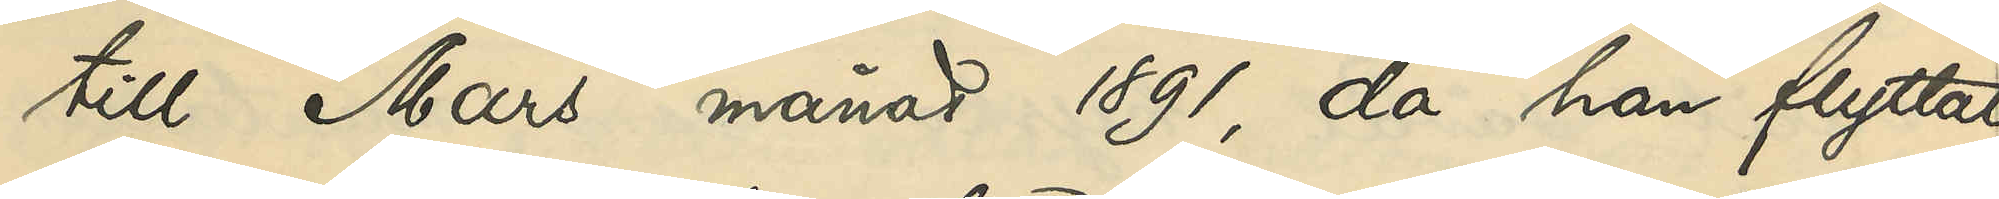till Mars månad 1891, då han flyttat
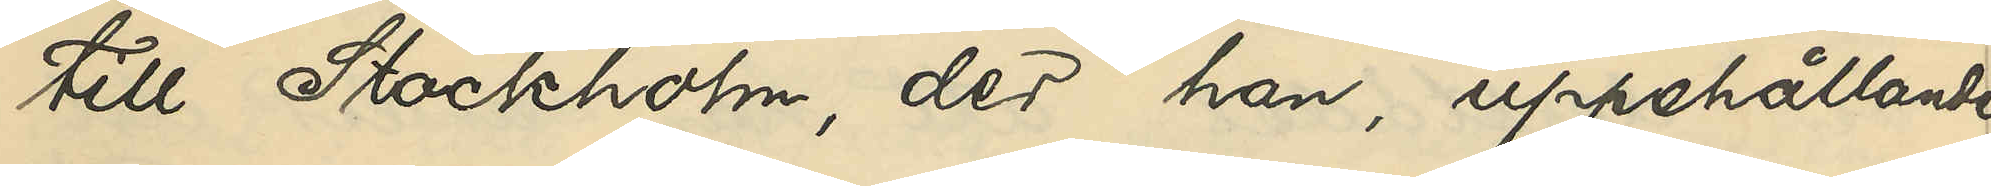till Stockholm, der han, uppehållit
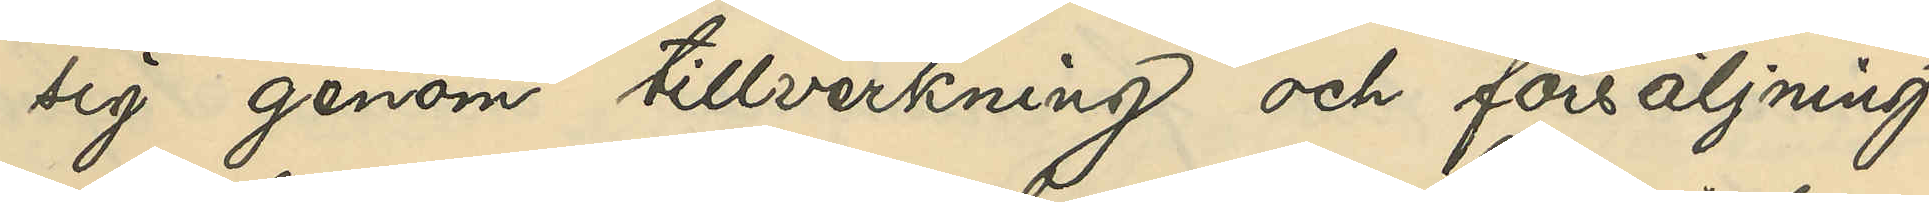sig genom tillverkning och försäljning
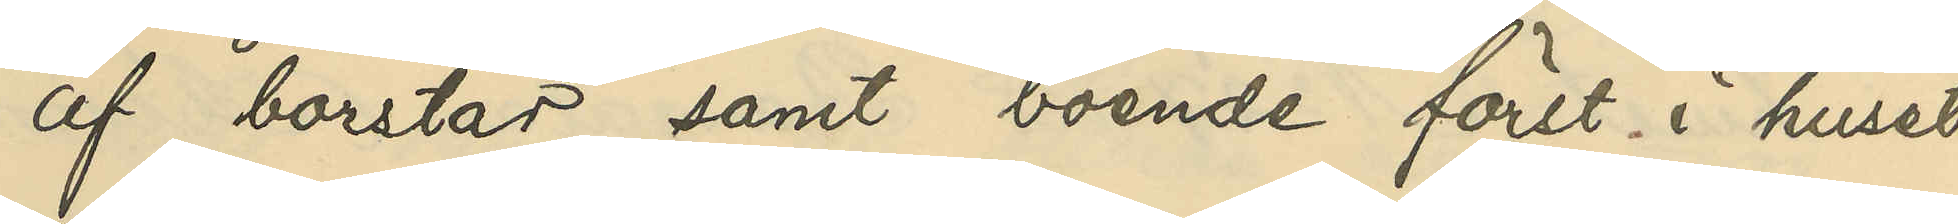af borstar samt boende först i huset
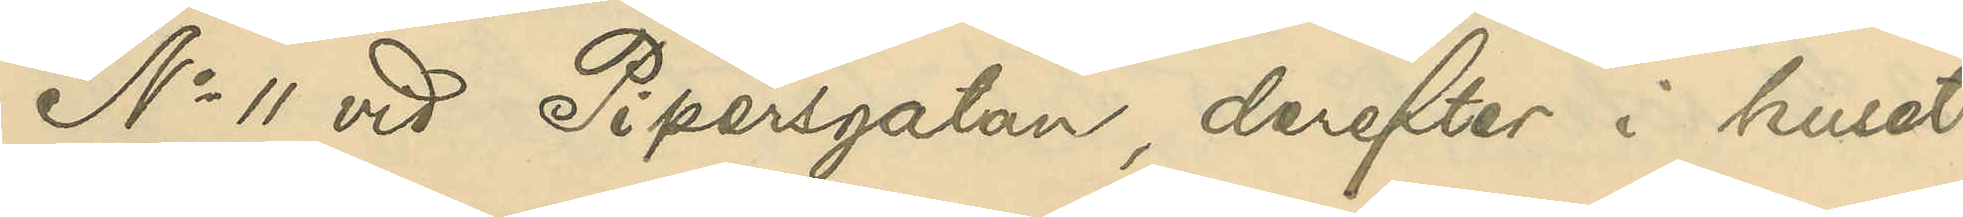No 11 vid Pipersgatan, derefter i huset
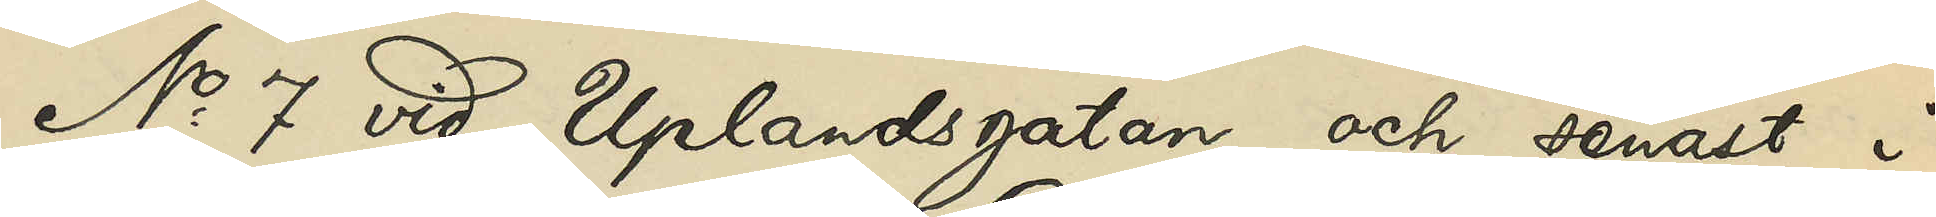No 7 vid Uplandsgatan och senast i
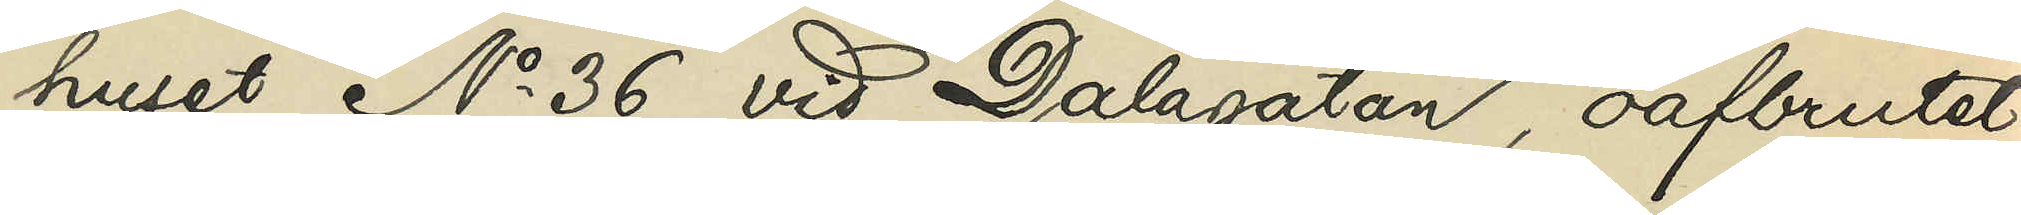huset No 36 vid Dalagatan, oafbrutet
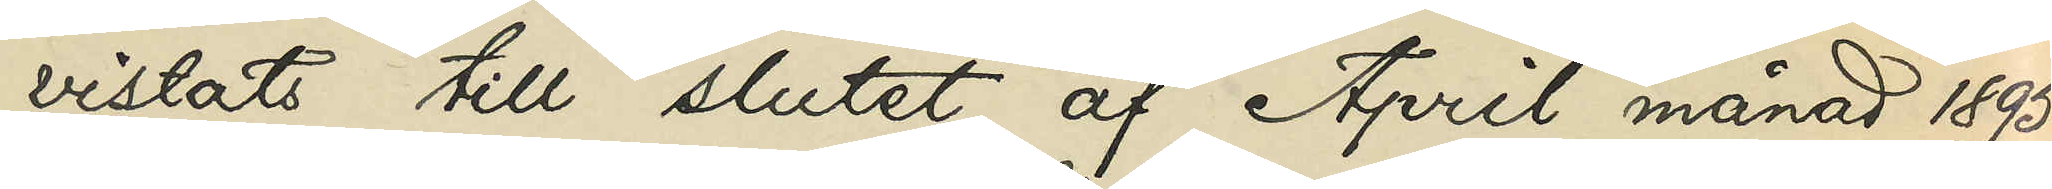vistats till slutet af April månad 1895,
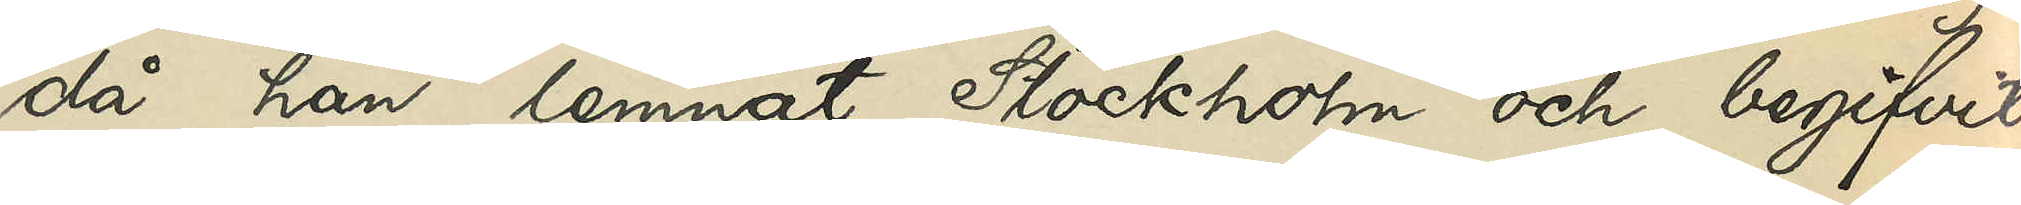då han lemnat Stockholm och begifvit
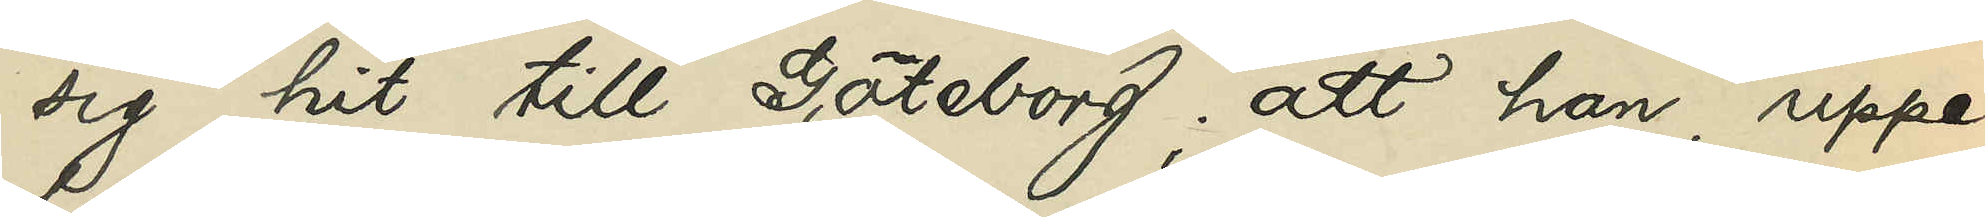sig hit till Göteborg; att han, uppe¬
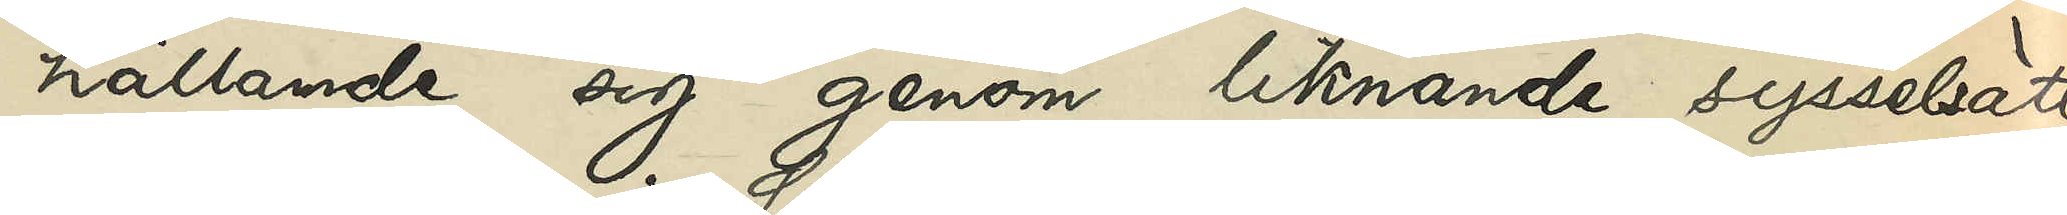hållande sig genom liknande sysselsätt¬
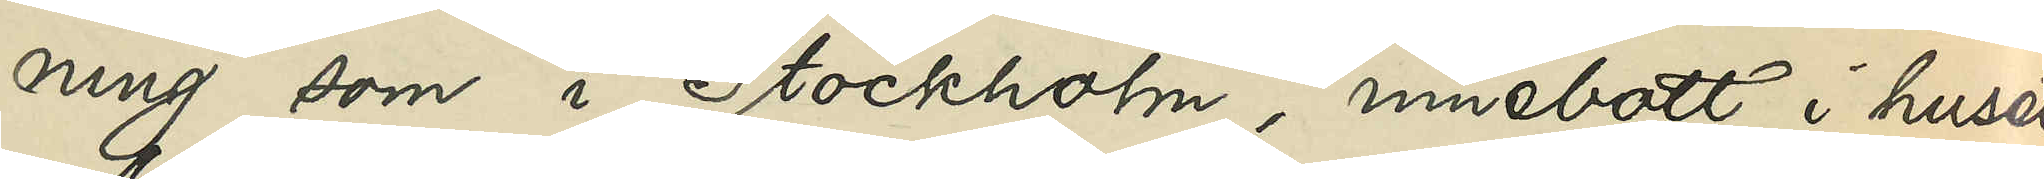ning som i Stockholm, innebott i huset
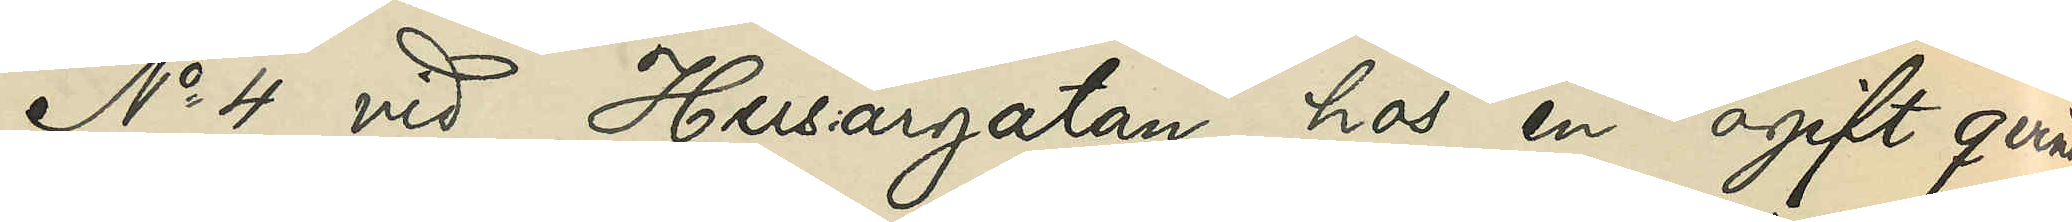No 4 vid Husargatan hos en ogift qvinna
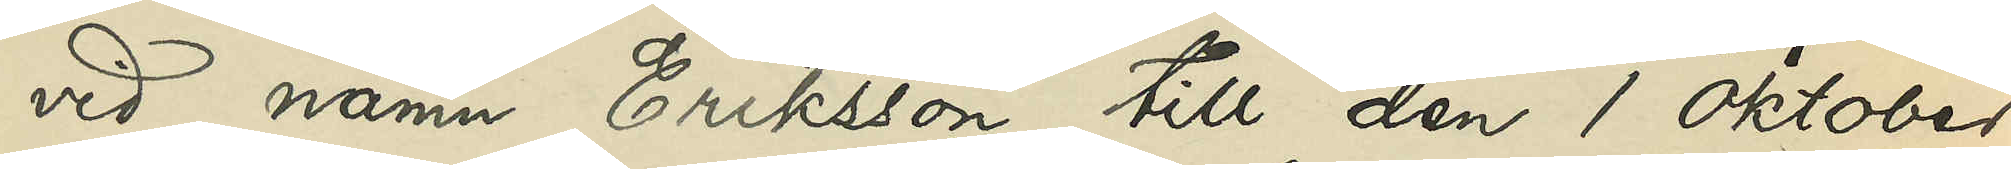vid namn Eriksson till den 1 oktober
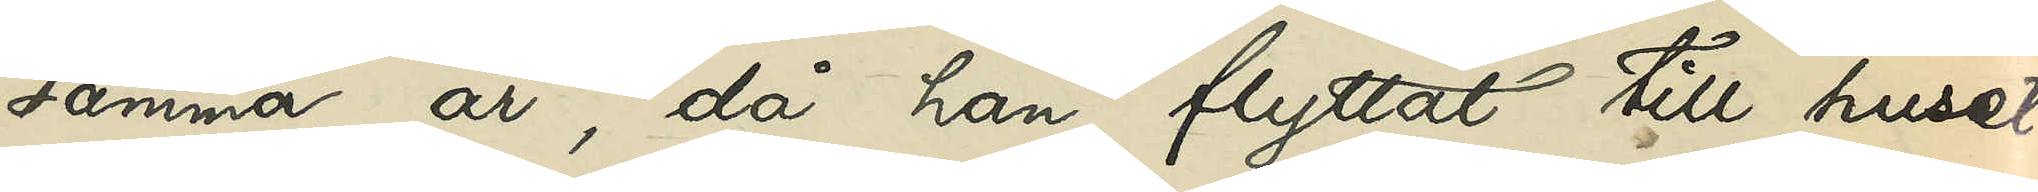samma år, då han flyttat till huset
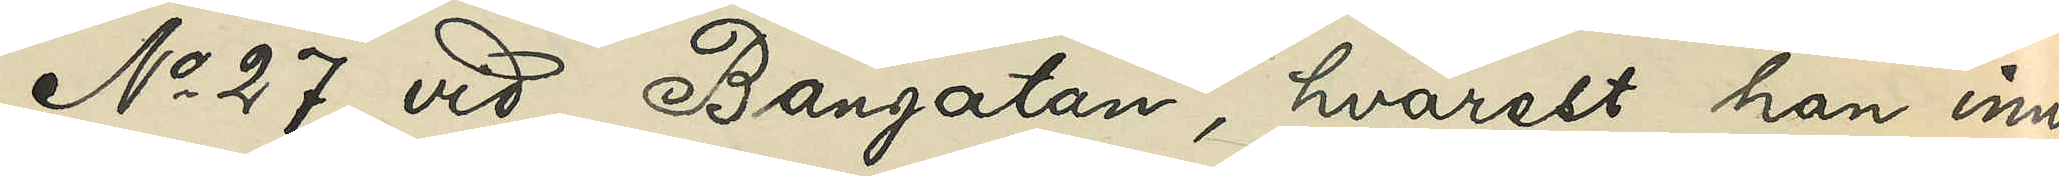No 27 vid Bangatan, hvarest han inne¬
